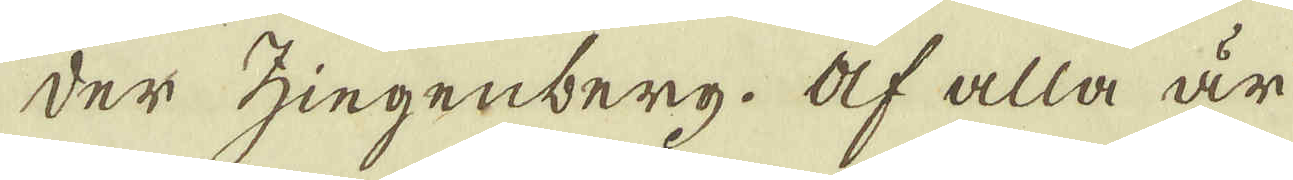der Zingenberg. Af alla är
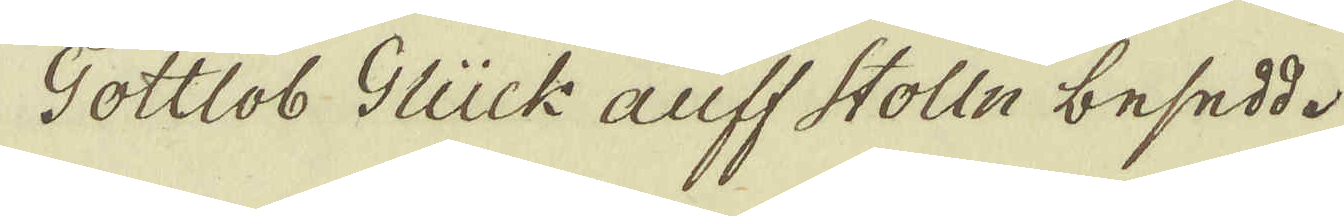Gottlob Glück auff Stolln besedd.
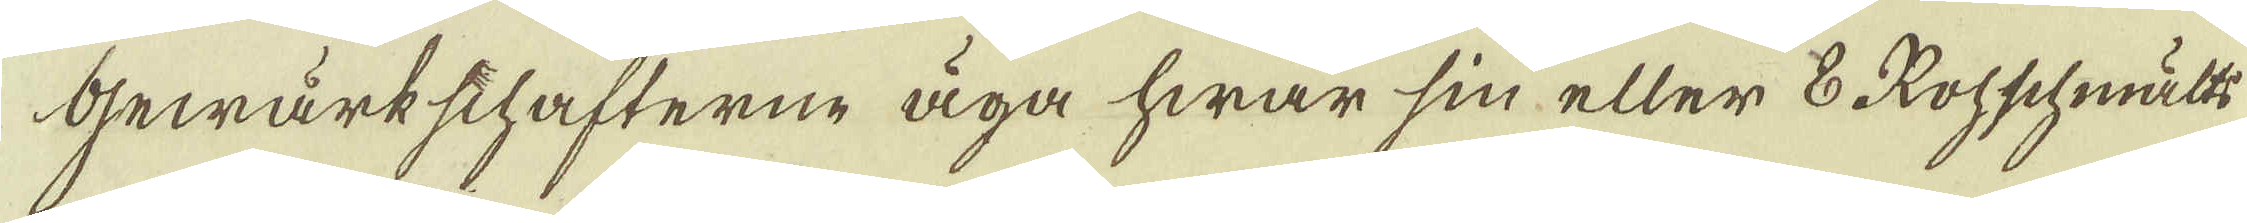Gewärkschafterne äga hwar sin eller 8 Rohschmälts-
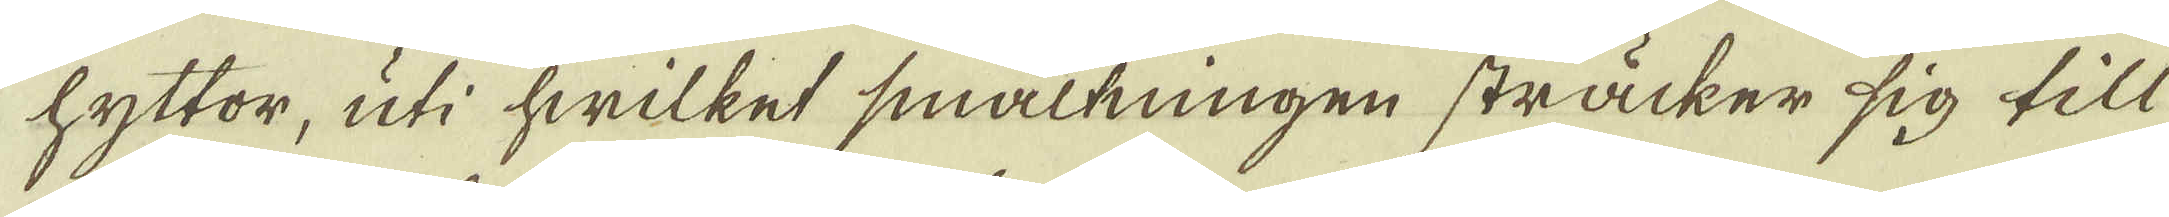hyttor, uti hwilket smältningen sträcker sig till
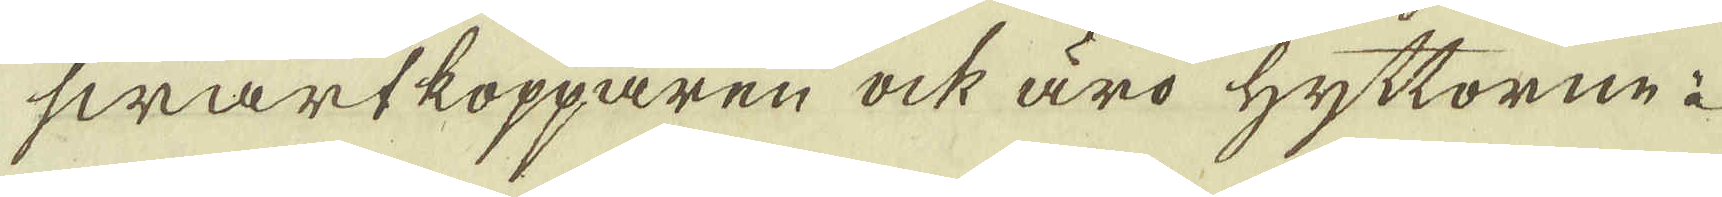swartkopparen ock äro hyttorne à 
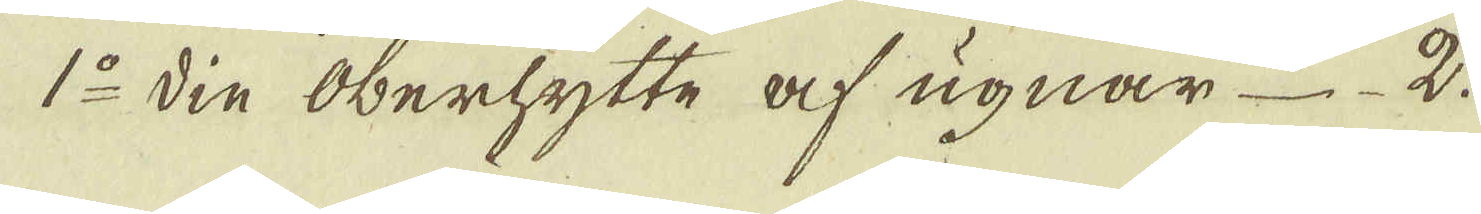1:o din Oberhytte af ugnar 2.
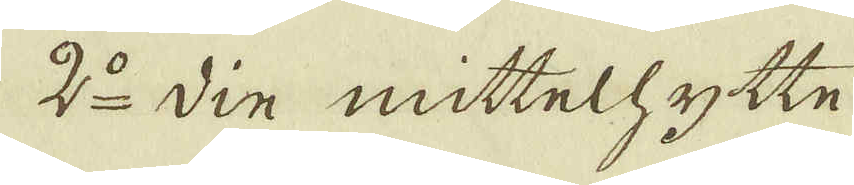2:o din mittelhytte 
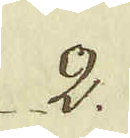2.
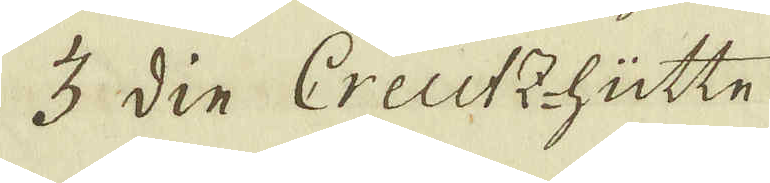3 din Creutz-hütte
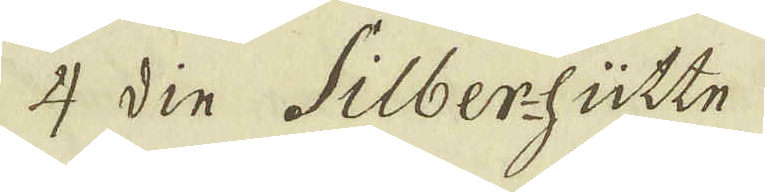4 din Silber-hütte
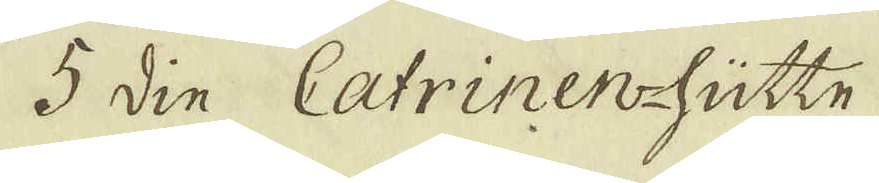5 din Catrinen-hütte
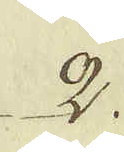2.
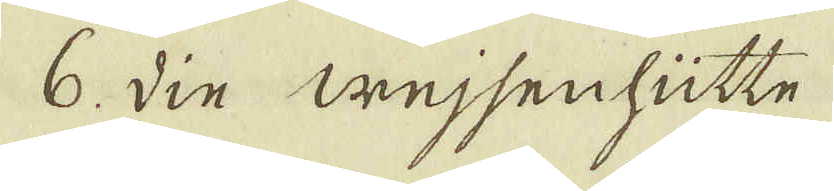6. Din Wejsenhütte
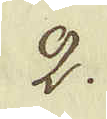2.
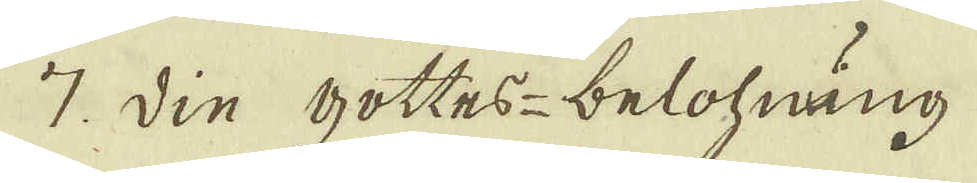7. din gottes-belohnung
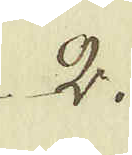2.
